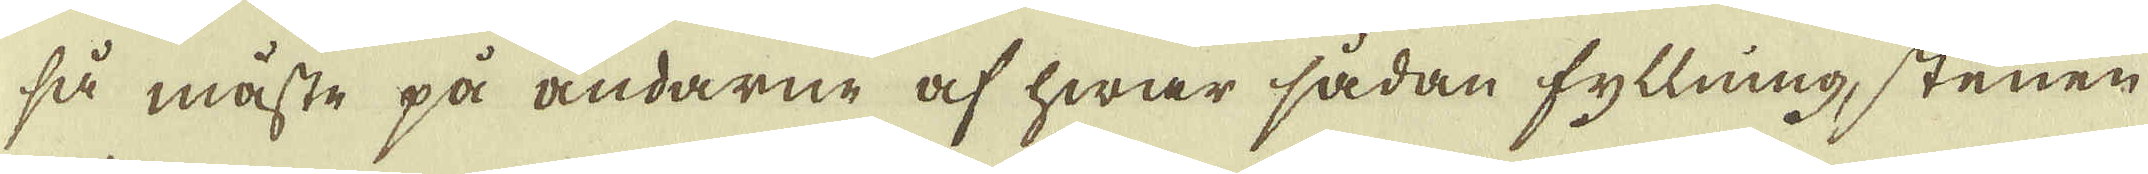så måste på ändarne af hwar sådan fyllning stenen
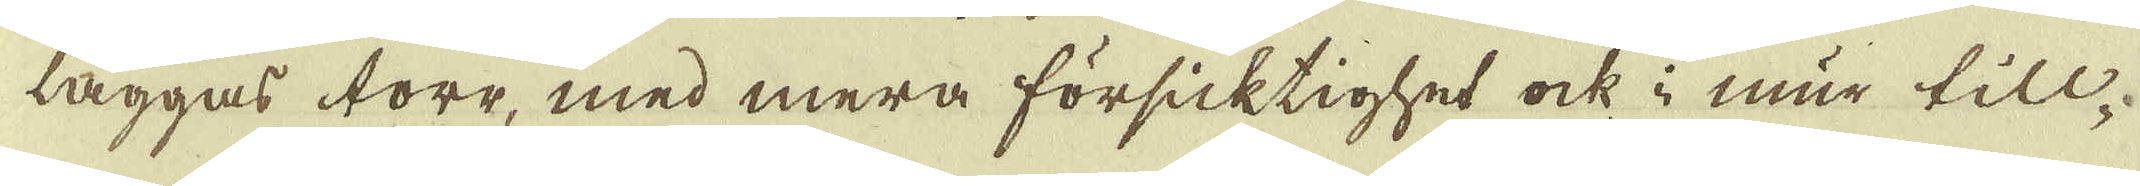läggas torr, med mera försicktighet ock i mur till-
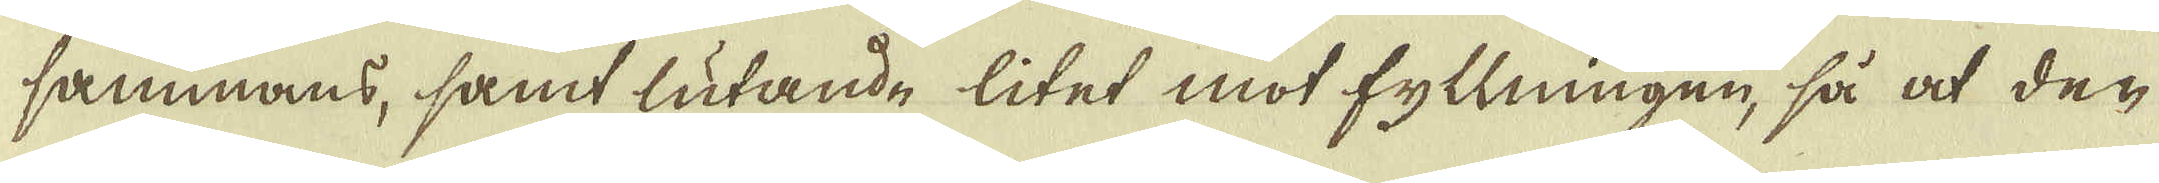sammans, samt lutande litet mot fyllningen, så at den
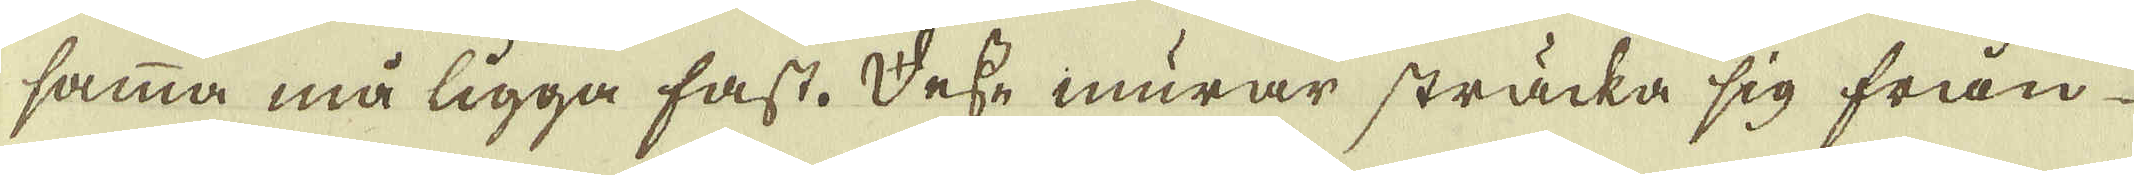samma må ligga fast. Desse murar sträcka sig från
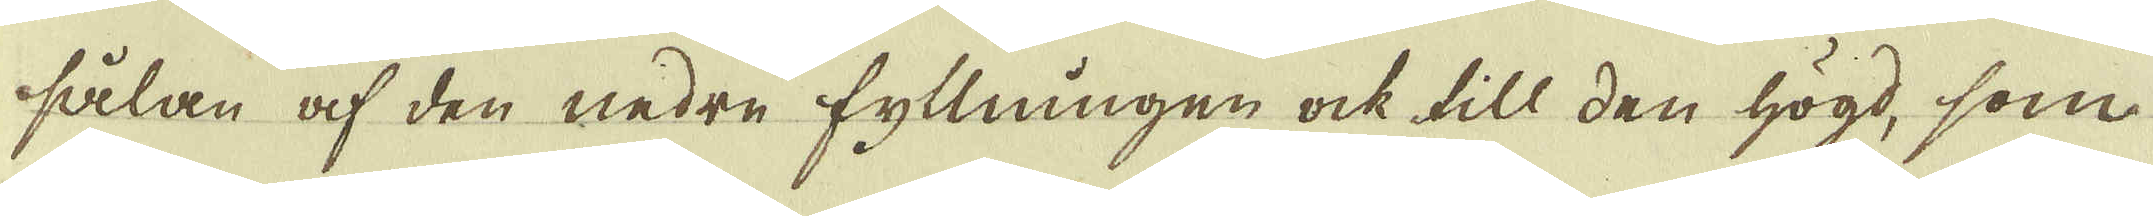sålan af den nedre fyllningen ock till den högd, som
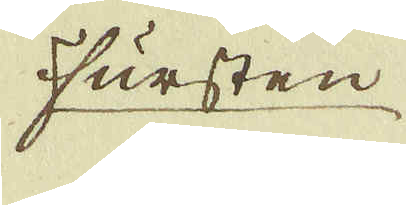Fursten
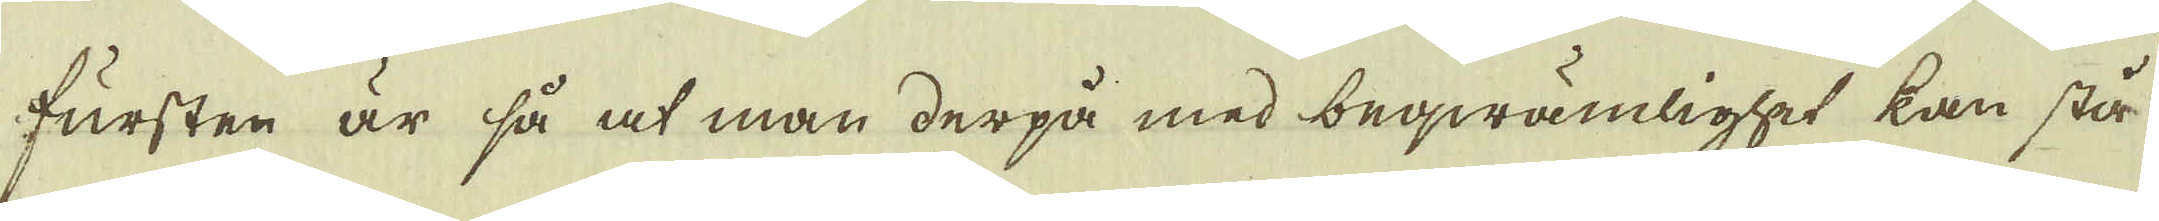fursten är så at man derpå med beqwämlighet kan stå
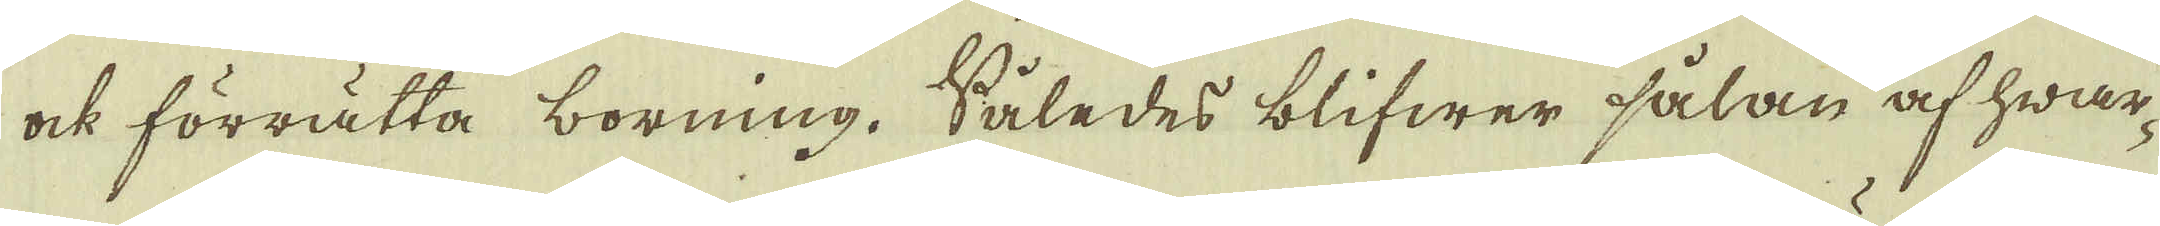ock förrätta borning. Således blifwer sålan af hwar-
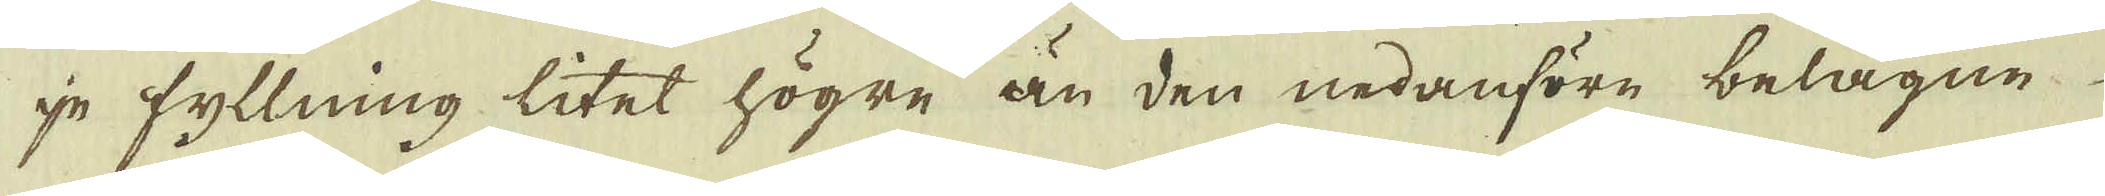je fyllning litet högre än den nedanföre belägne
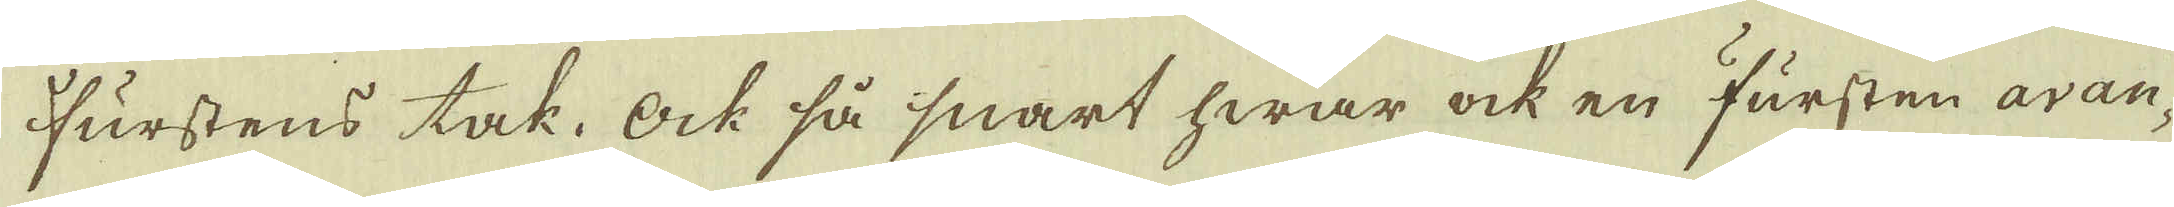Furstens tak. Ock så snart hwar ock en Fursten avan-
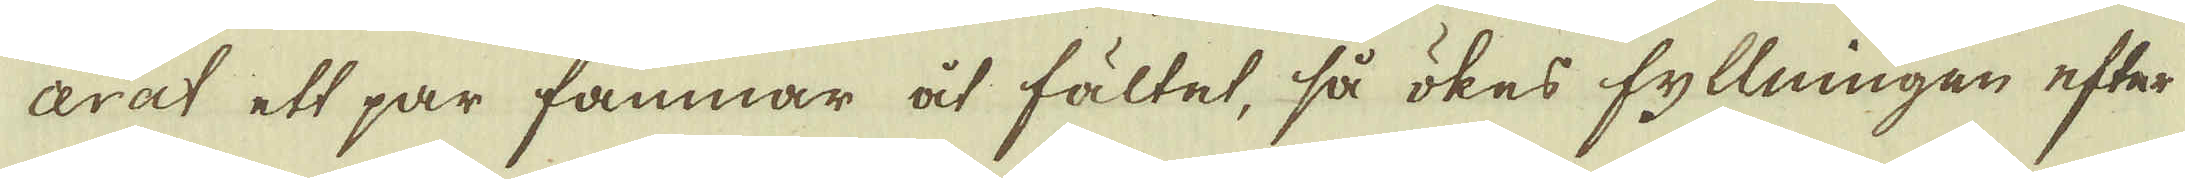cerat ett par famnar åt fältet, så ökes fyllningen efter
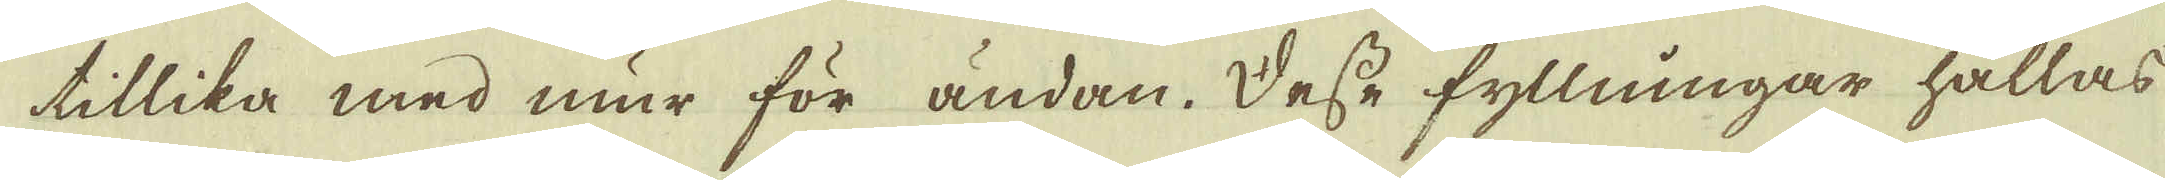tillika med mur för ändan. Desse fyllningar hållas
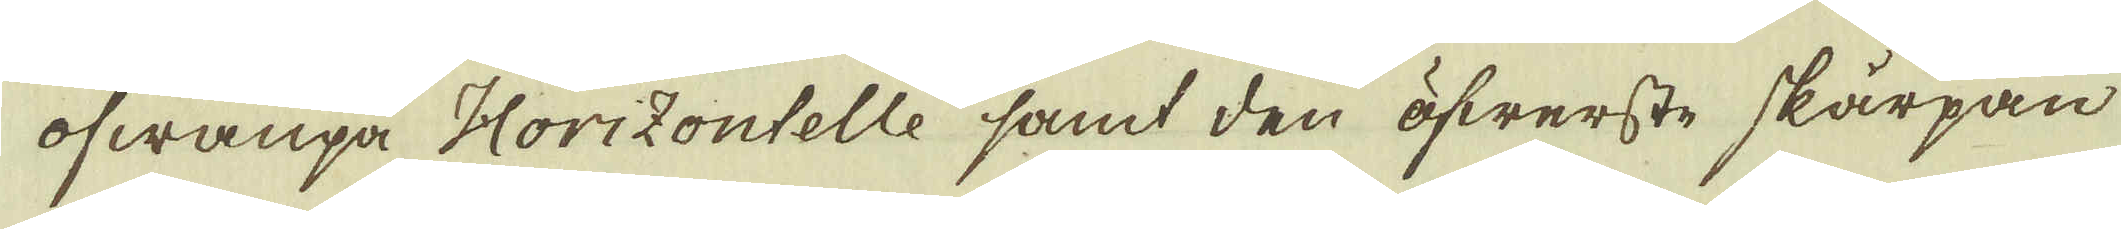ofwanpå Horizontelle samt den öfwerste skärpan
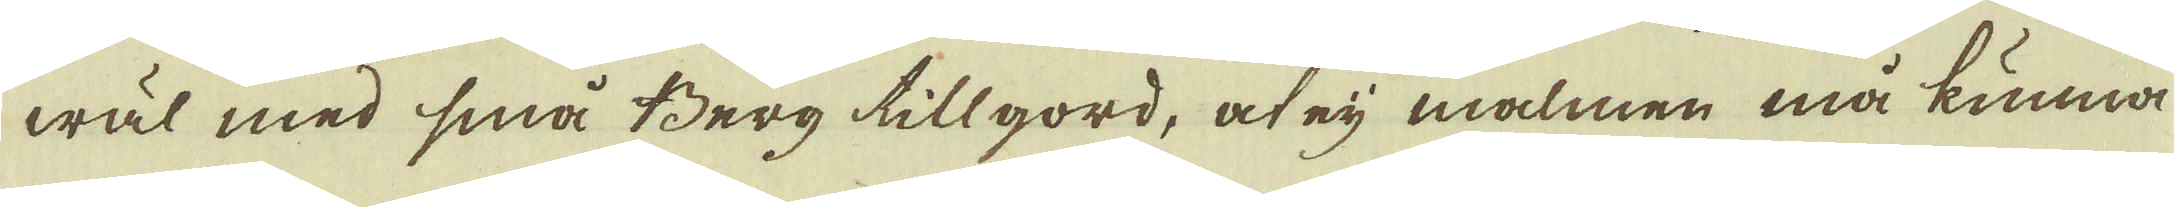wäl med små Berg tillgord, at eij malmen må kunna
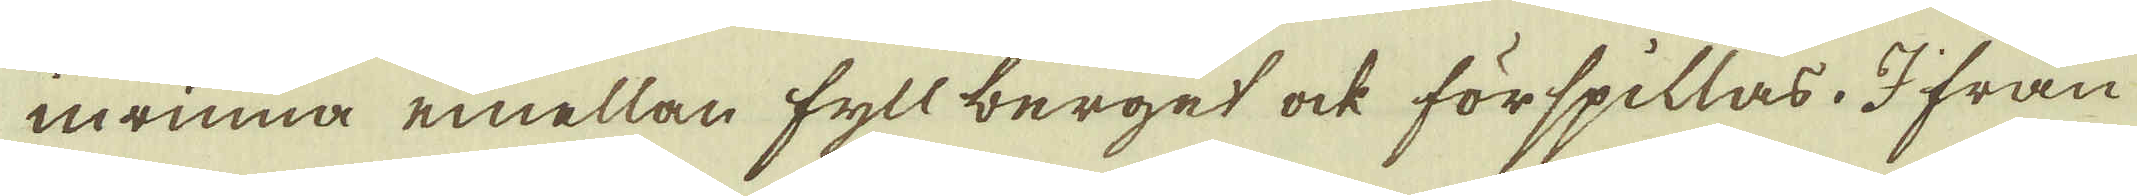inrinna emellan fyll berget ock förspillas. I från
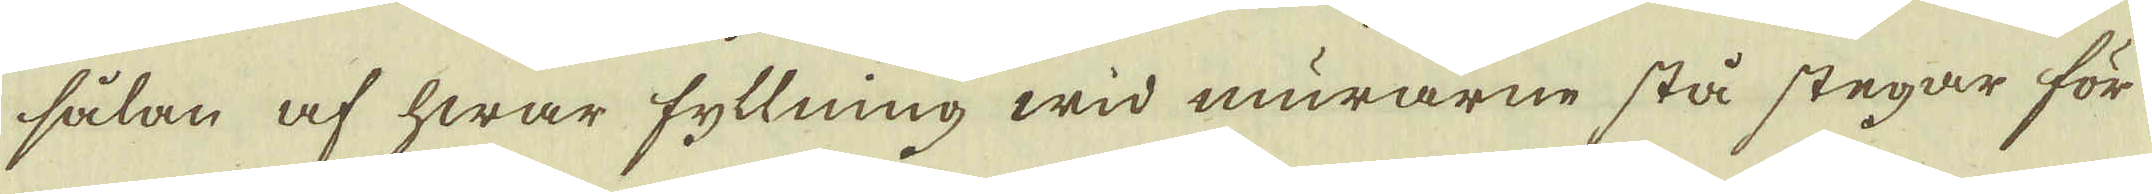sålan af hwar fyllning wid murarne stå stegar för
